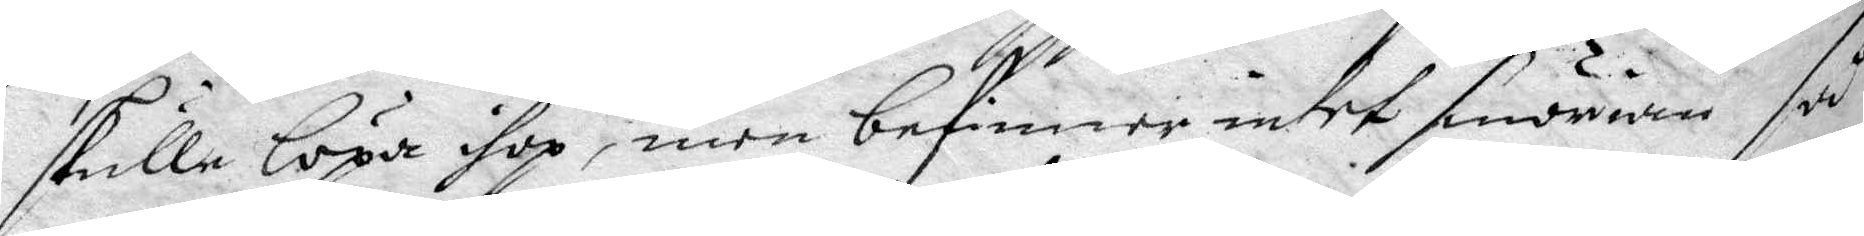skulle löpa ihoop, men befinner intet smörian så
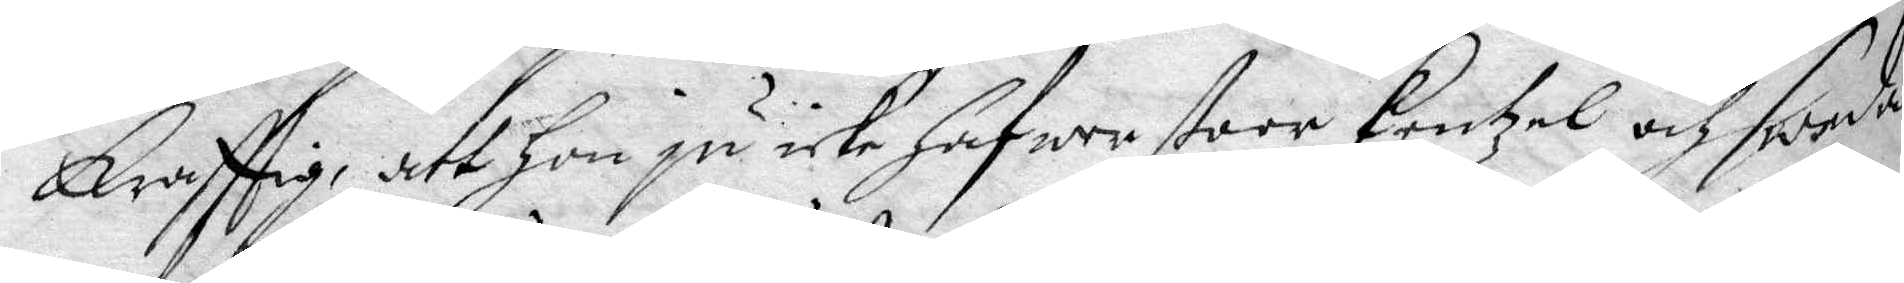Krafftig, att hon ju icke hafwer stoor Kentzel och sweda
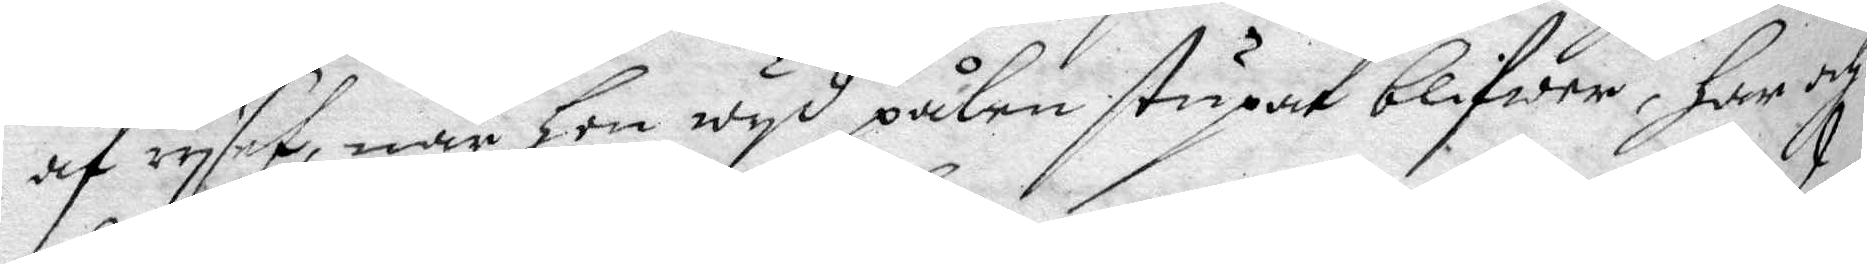af ryset, när hon wyd pålen stupat blifwer, Har och
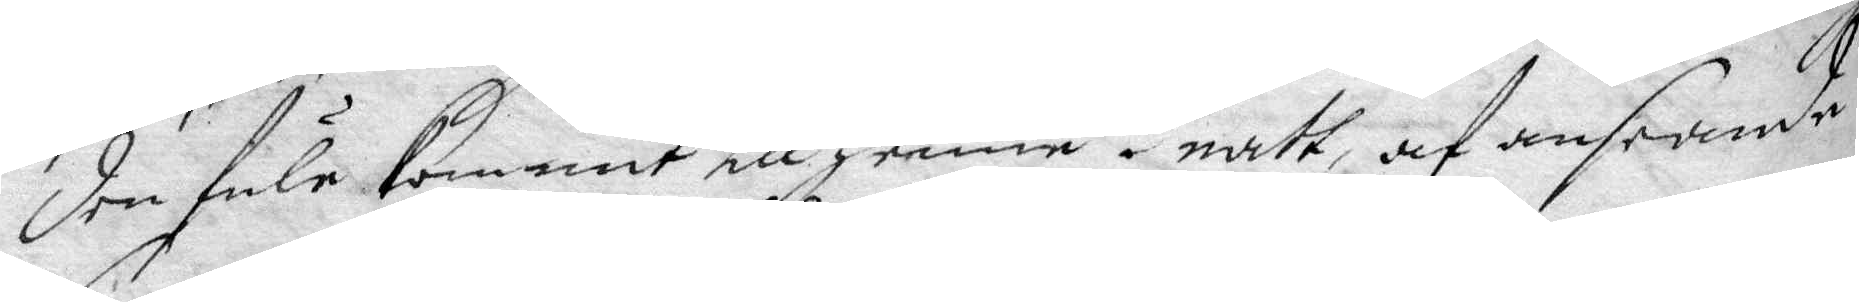den fule Kommit till henne i natt, af anseende
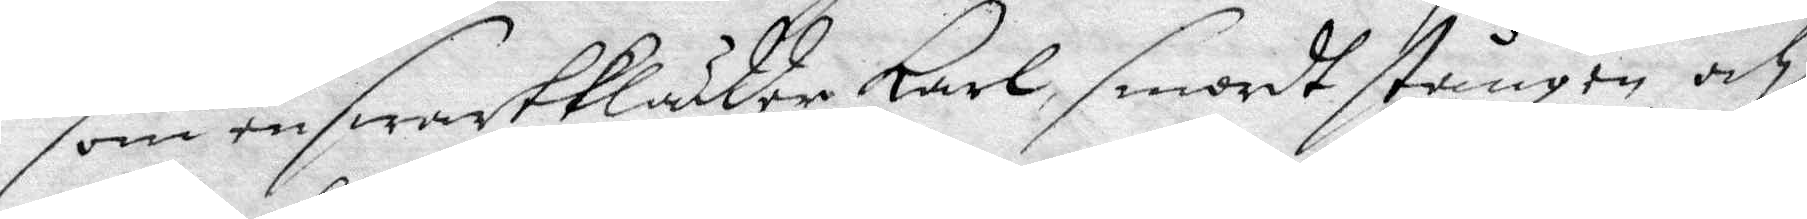som en swart klädder Karl, smordt stången och
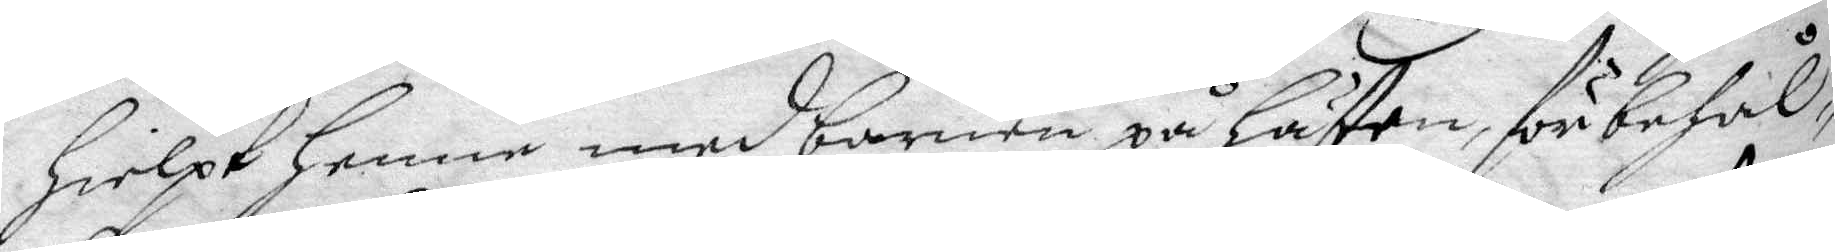Hielpt Henne med barnen på hästen, för behål¬
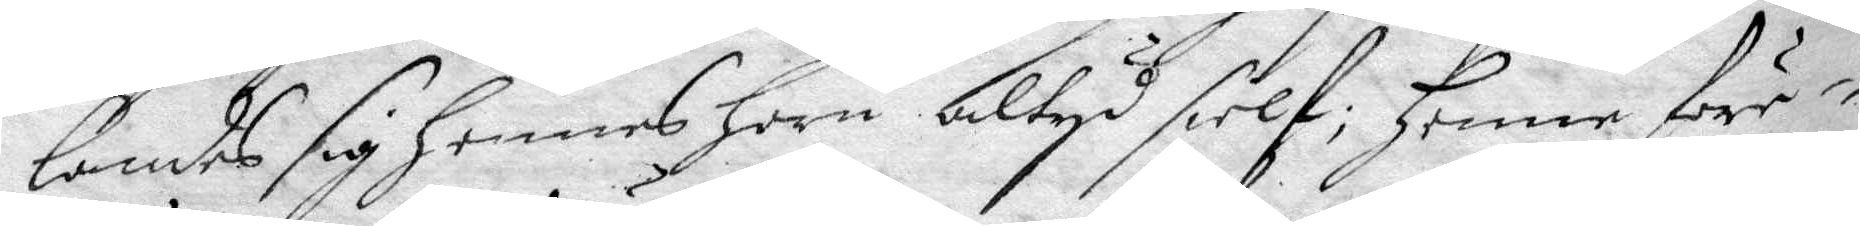landes sig hennes Horn altyd sielf; henne före¬
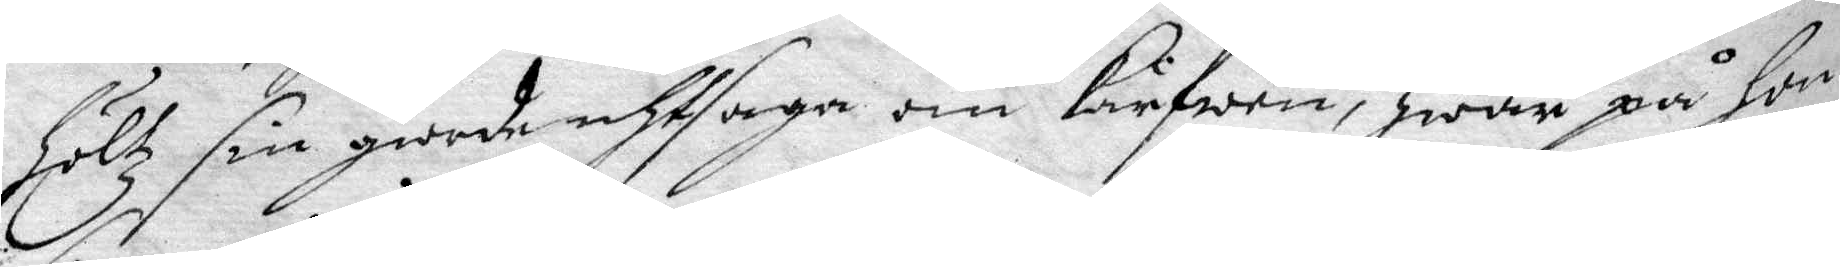höltz sin giorde uthsaga om Kärfwen, hwar på hon
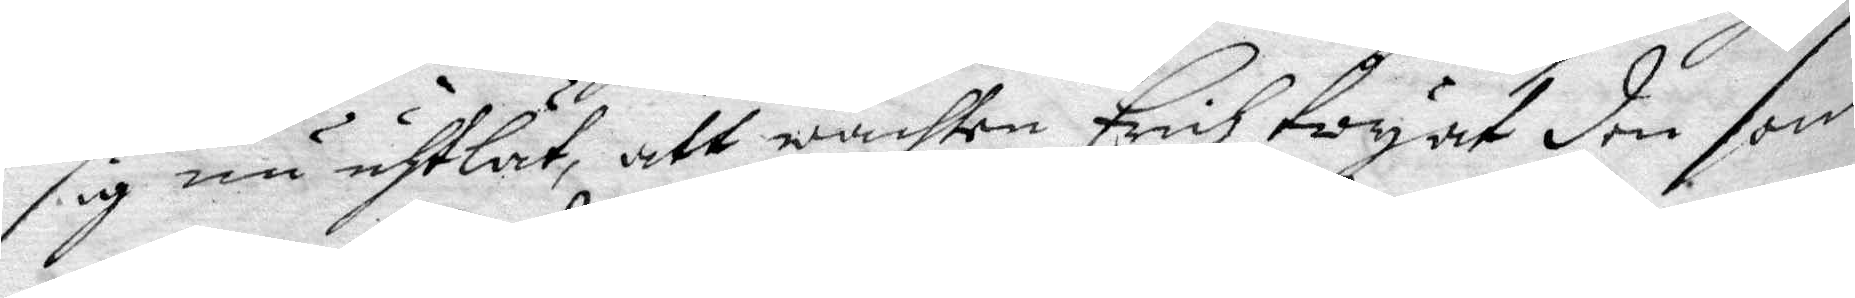sig nu uhtlät, att wachten Erich twyat den som
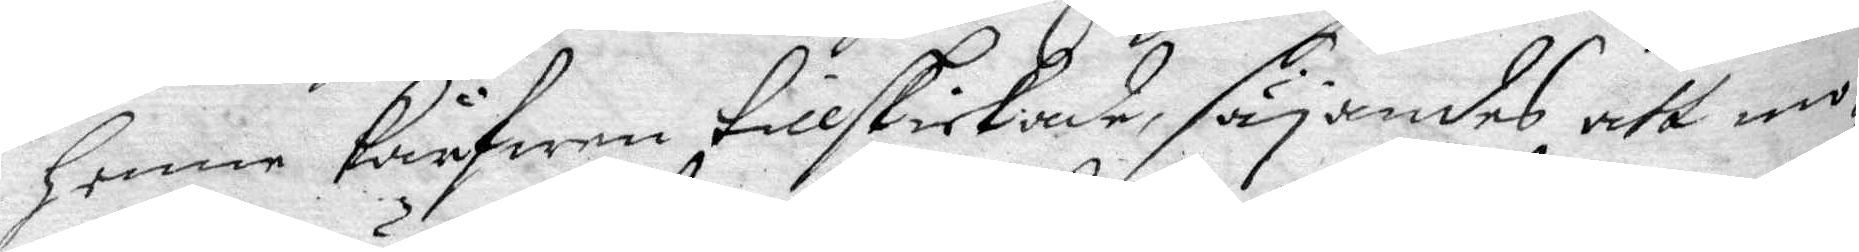henne Kräfwen tillskickade, säyandes att mo¬
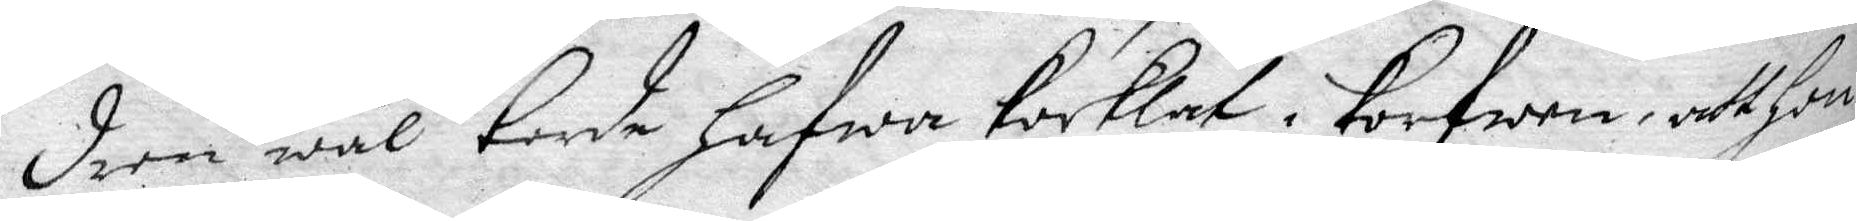dren wäl torde hafwa kocklat i Korfwen, att hon
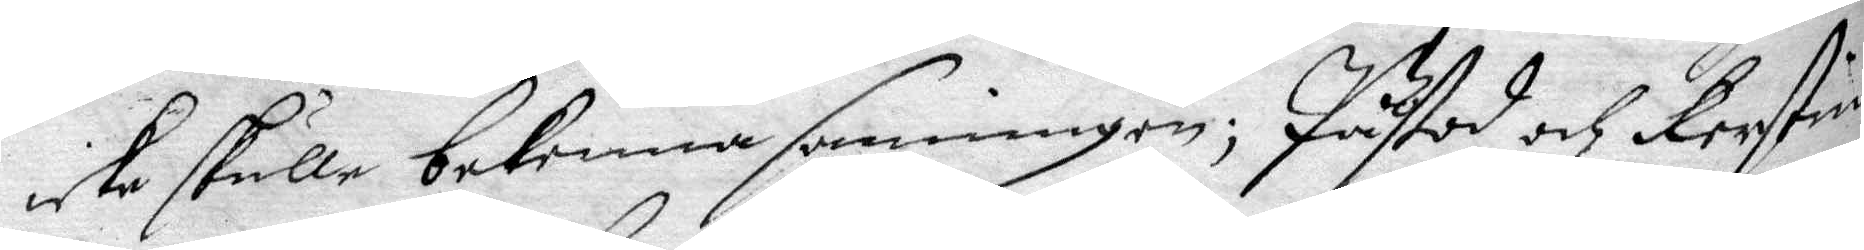icke skulle bekenna sanningen; Påstod och Kerstin
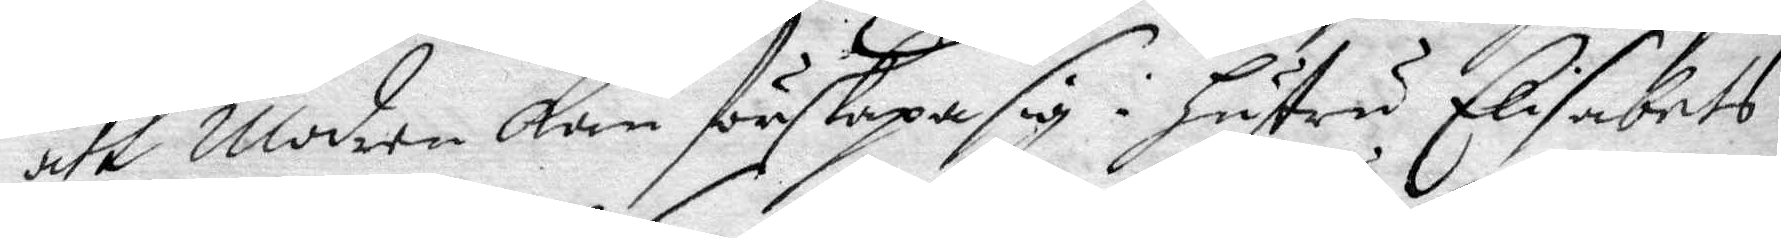att Modren Kam förskapa sig i hustru Elisabets
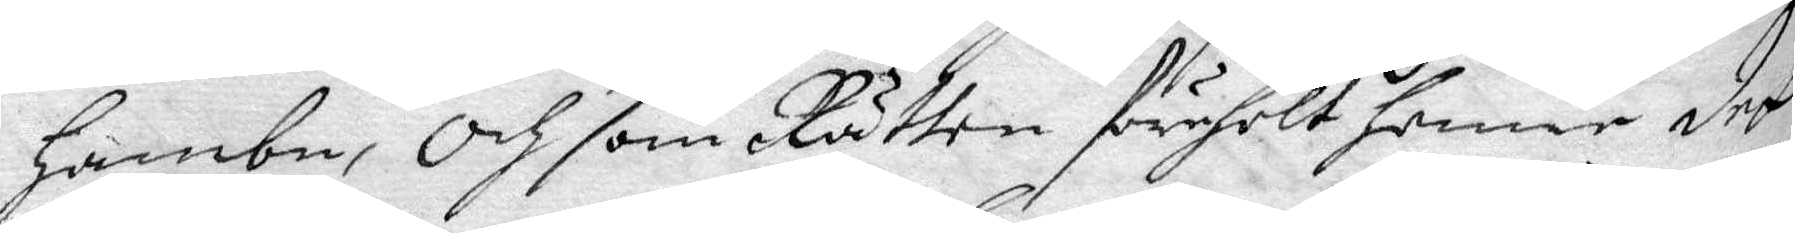hambn, Och som Rätten förehölt Henne det
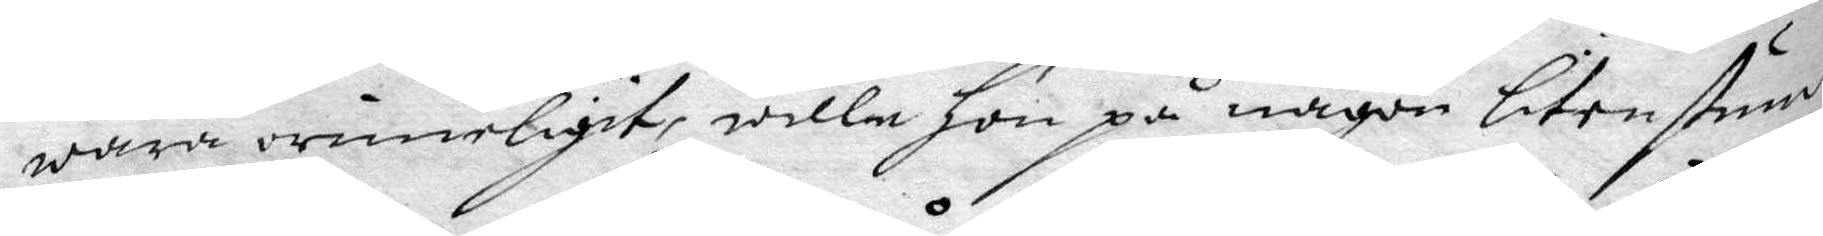wara orimeligit, wille Hon på någon liten stund
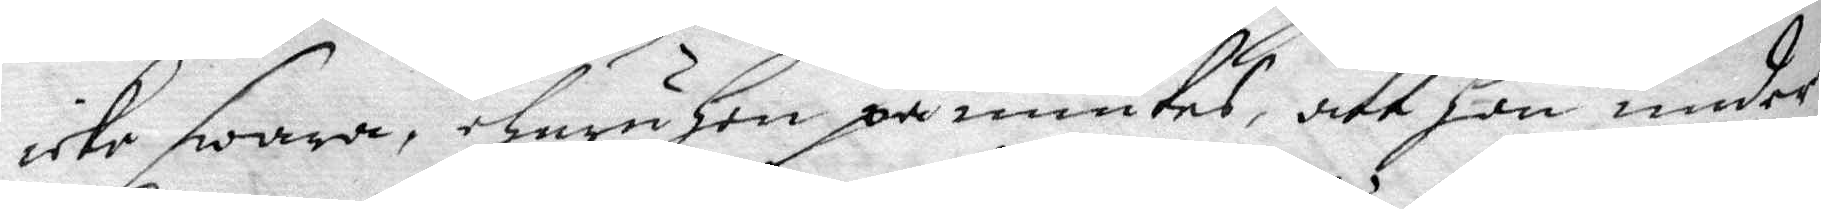icke swara, ehuru hon påmintes, att hon under
